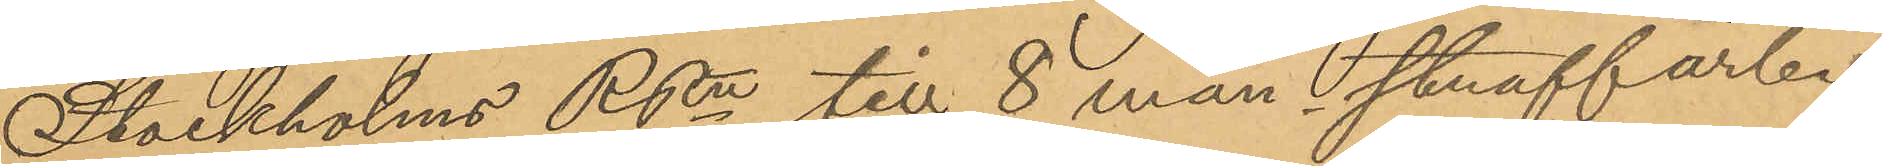Stockholms RRtt till 8 mån straffarb.
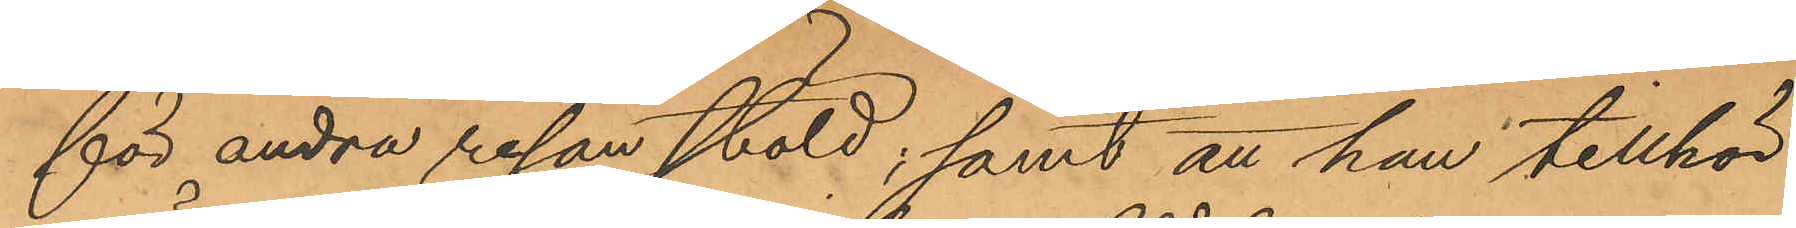för andra resan stöld; samt att han tillhör
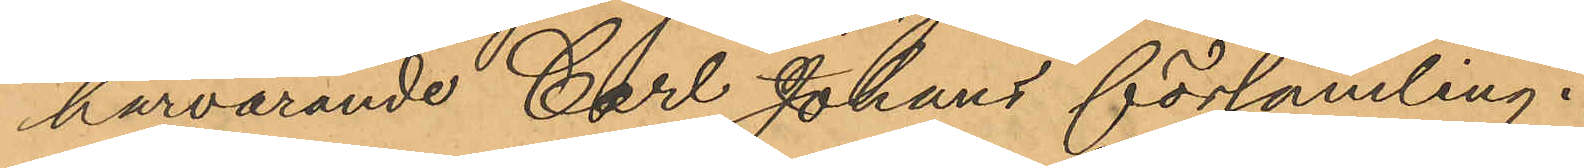härvarande Carl Johans församling.
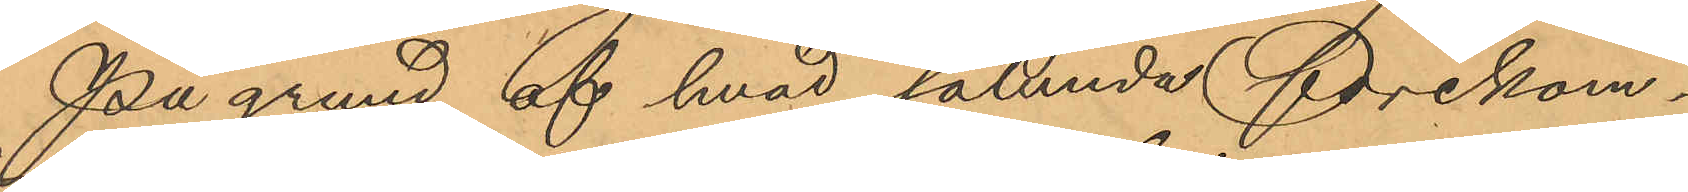På grund af hvad sålunda förekom¬
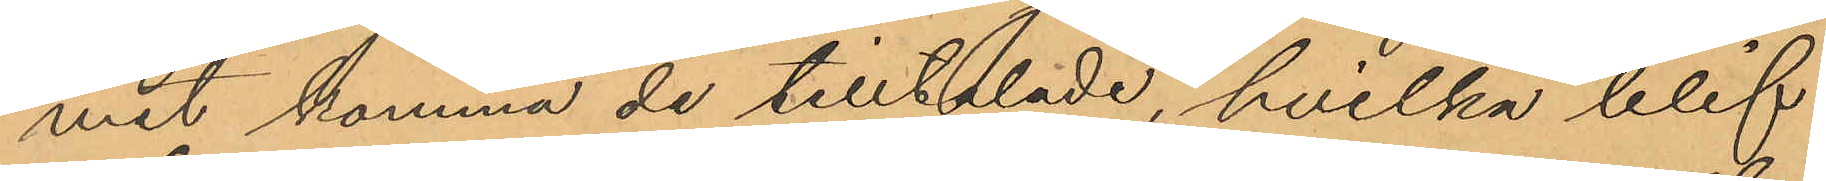mit komma de tilltalade, hvilka blif¬
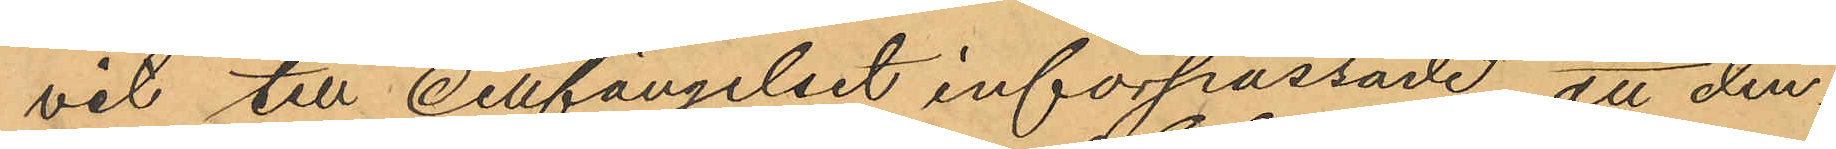vit till cellfängelset införpassade, att den¬
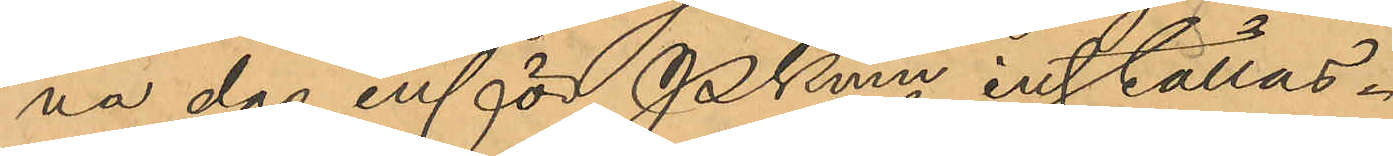na dag inför Pkmn inställas.
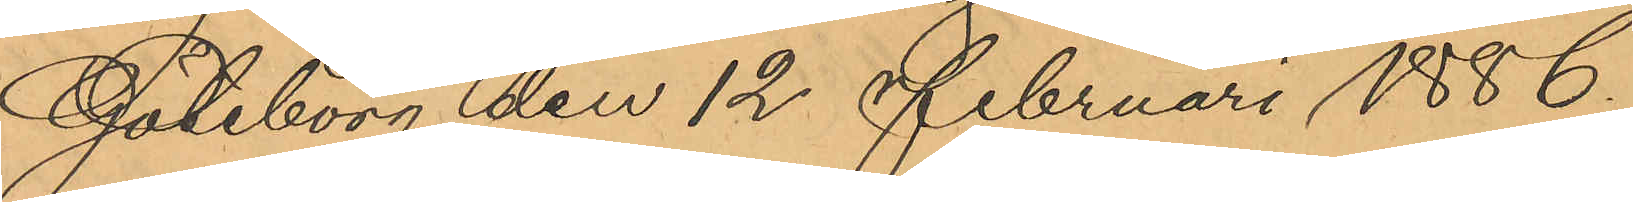Göteborg den 12 Februari 1886.
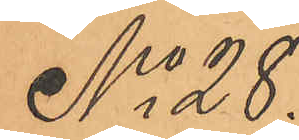No 28.
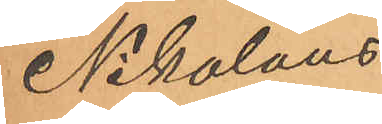Nikolaus
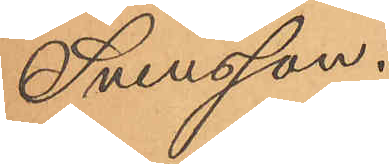Svensson.
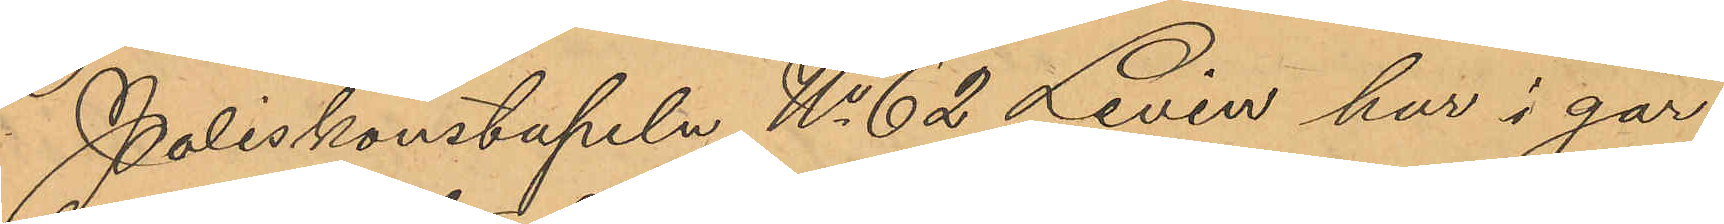Poliskonstapeln No 62 Levén har i går
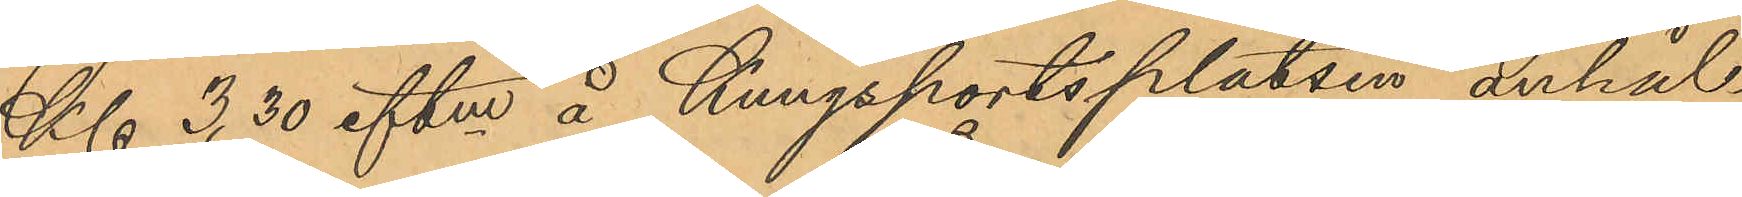Kl 3. 30 eftm å Kungsportsplatsen anhål¬
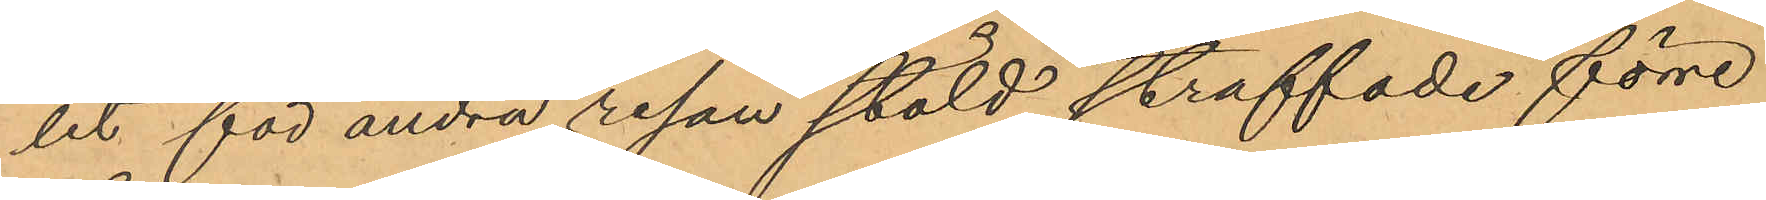let för andra resan stöld straffade förre
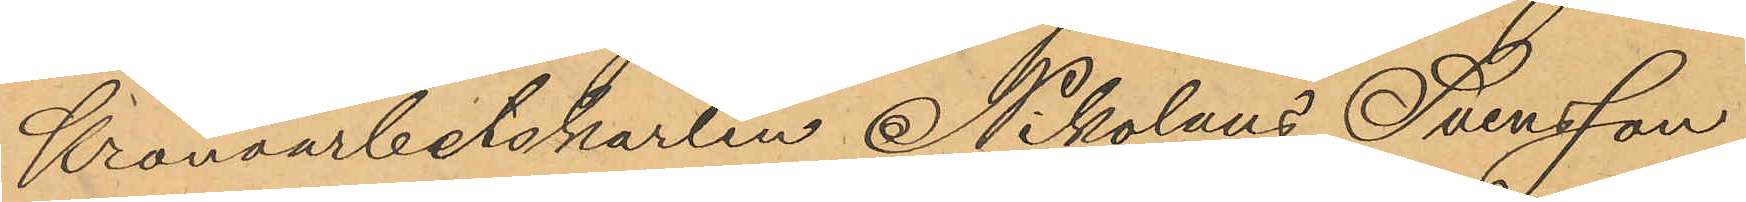Kronoarbetskarlen Nikolaus Svensson,
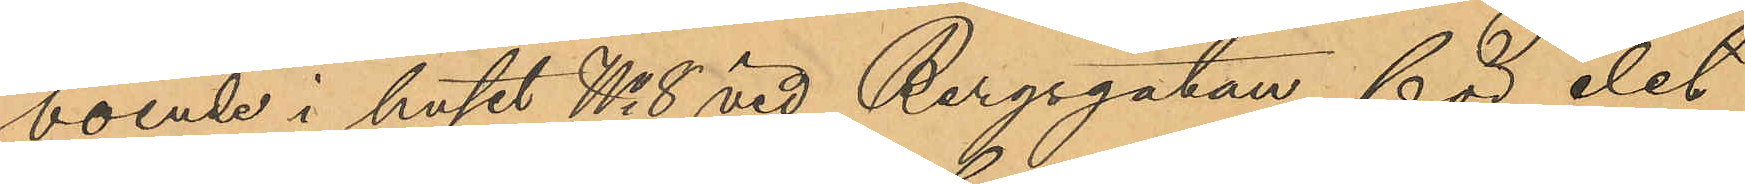boende i huset No 8 vid Bergsgatan, för det
